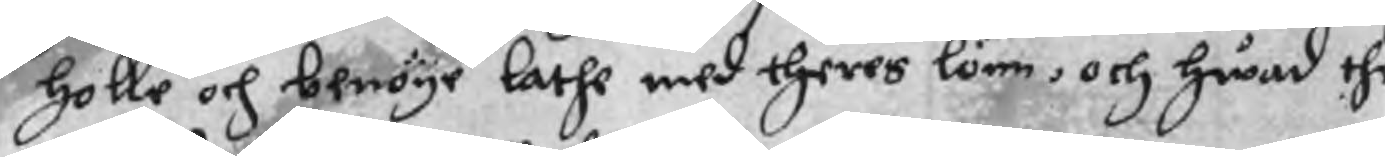holle och benöye lathe med theres lönn, och hwad the
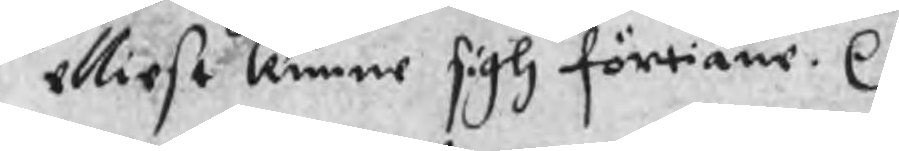elliest kunne sigh förtiäne. r.
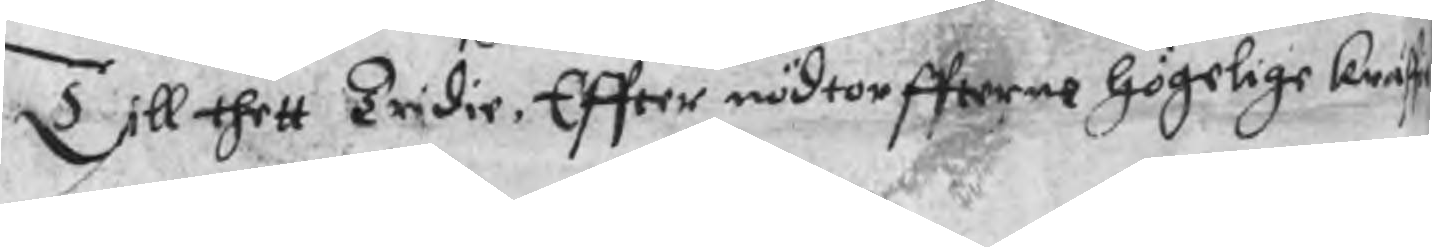Till thett Tridie, Effter nödtorffterne högelige kraff
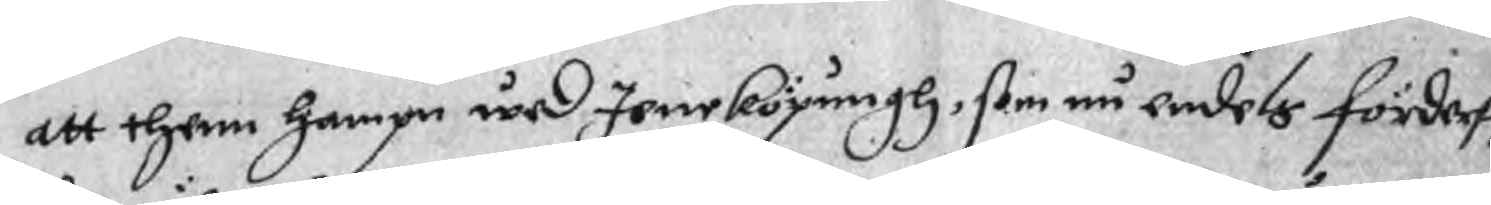att them hampn wed Jeneköpungh, som nu endels förderff
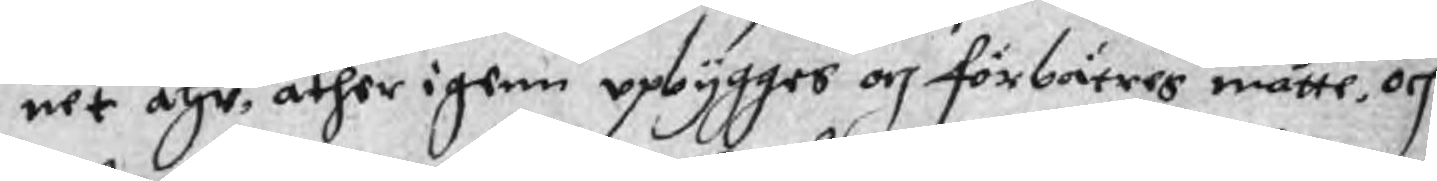uet ähr, åther igenn upbygges och förbätres måtte, och
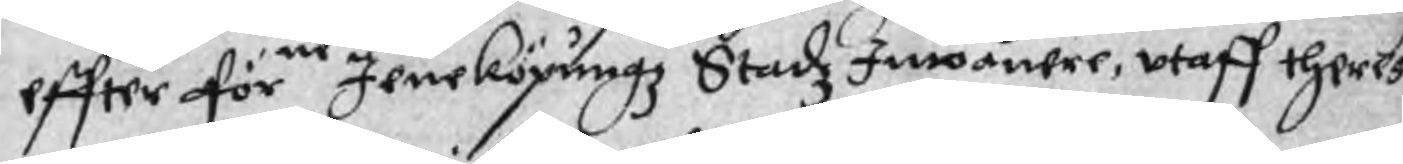effter förne Jeneköpungz Stadz Inwånere, utaff theres
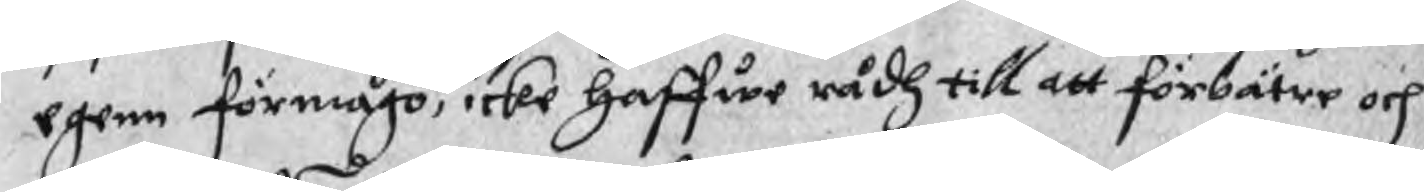egenn förmågo, icke haffwe rådh till att förbätre och
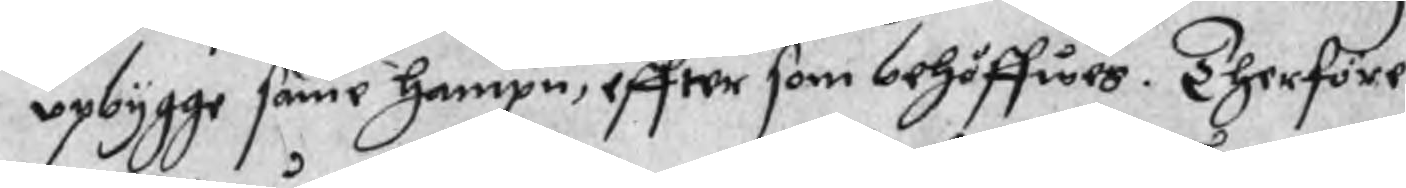upbygge samme hampn, effter som behöffwes. Therföre
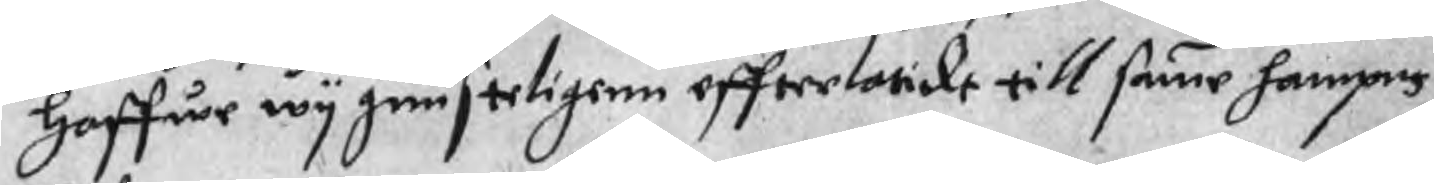haffwe wy gunsteligenn effterlatidt till samme hampns
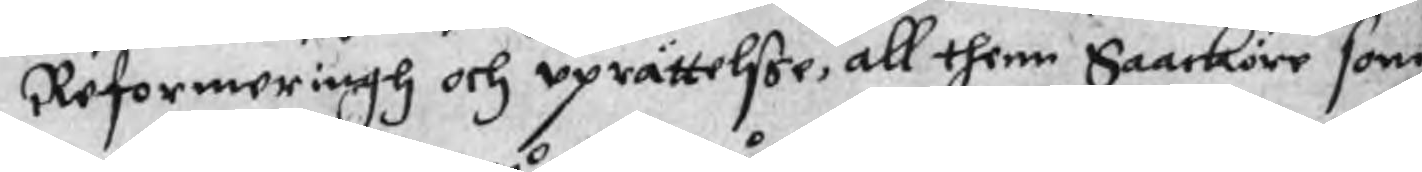Reformeringh och uprättelsse, all thenn Saacköre som
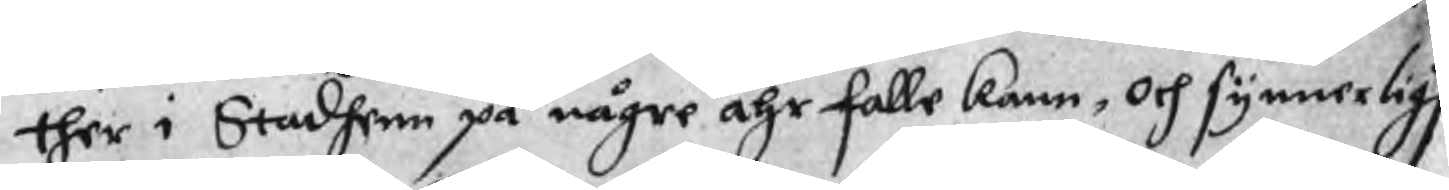ther i Stadhenn på någre åhr falle kann, och synnerlig
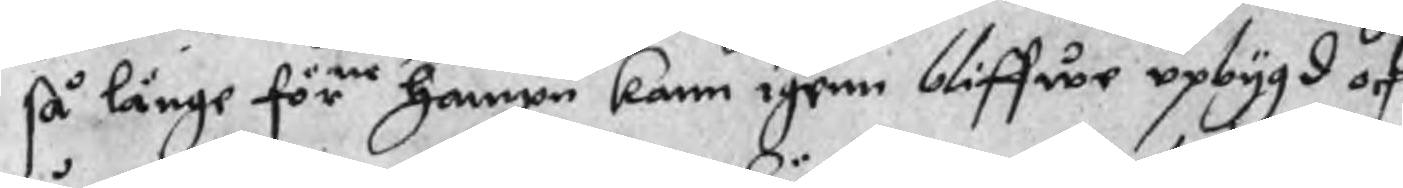så länge förne hampn kann igenn bliffwe upbygd och
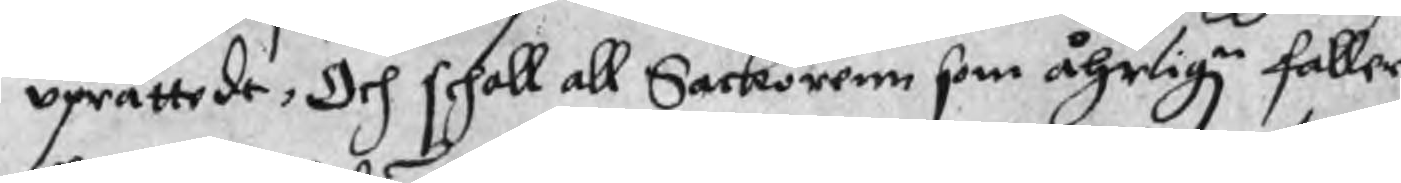uprättade, Och schall all Sackörenn som åhrlign faller
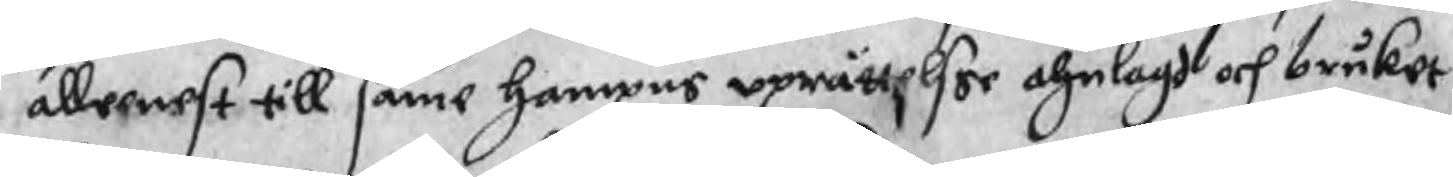alleenest till samme hampns uprättelser ahnlagd och bruket
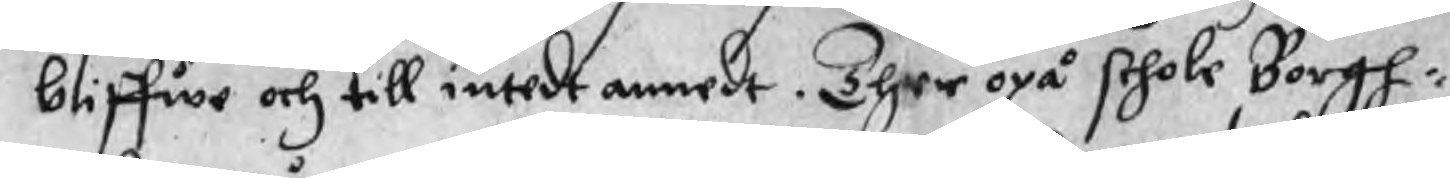bliffwe och till intedt annedt. Ther opå schole Borgh¬
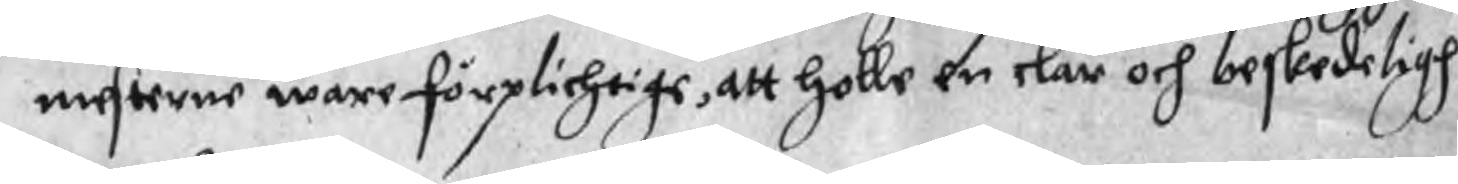mesterne wåre förplichtige, att holle en clar och beskedeligh
